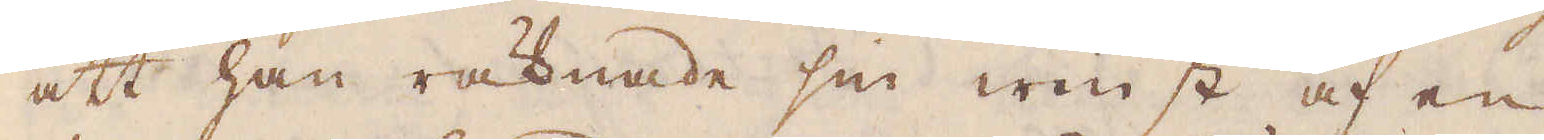att han räknade sin winst af en
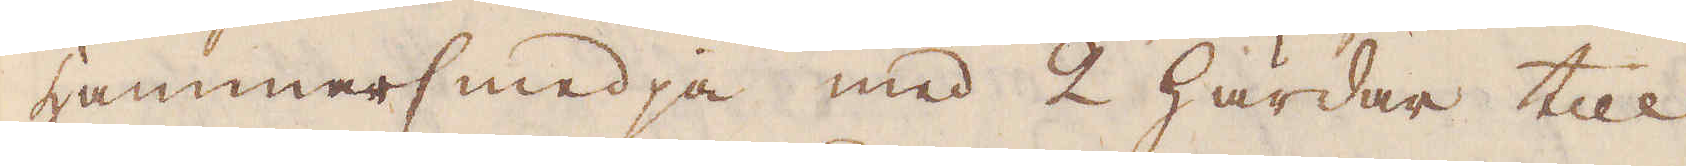Hammarsmedja med 2 Härdar till
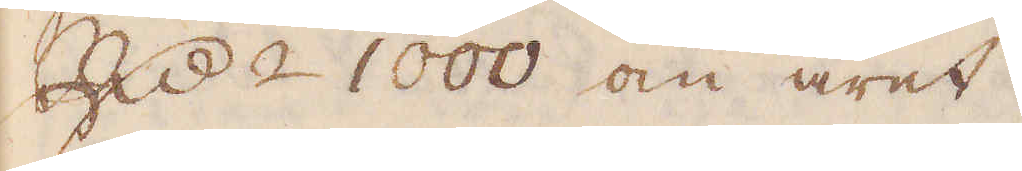R:dr 1000 om året.
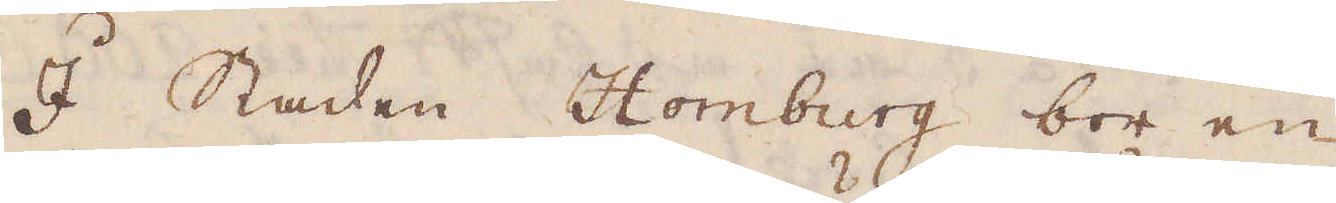I Staden Homburg bor en
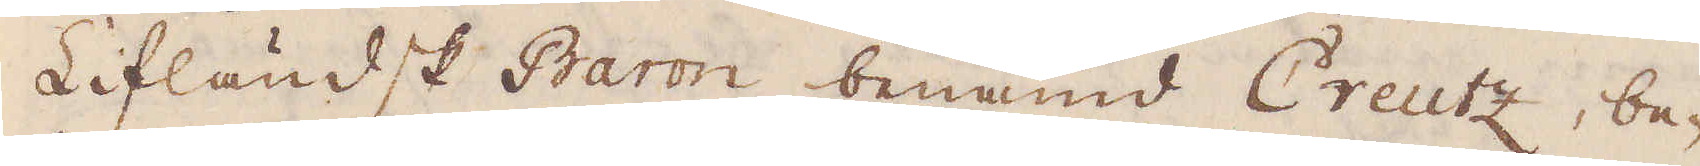Lifländsk Baron benämd Creutz, be-
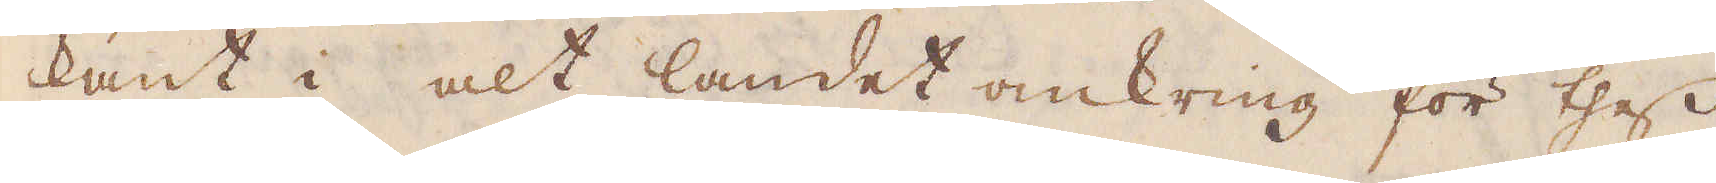kant i alt landet omkring för thess
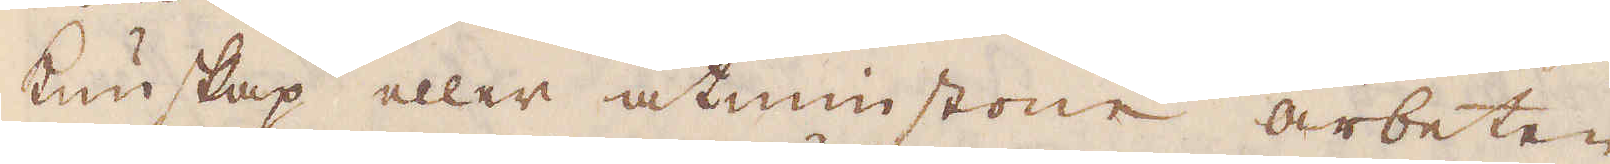kunskap eller åtminstone arbeten
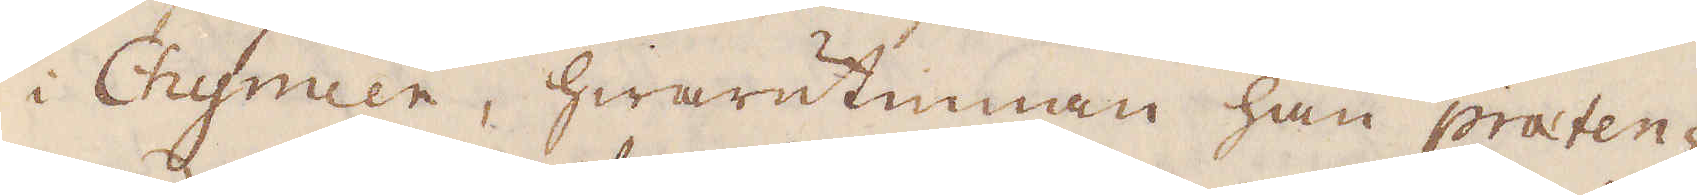i Chymien, hwarutinnan han praten-
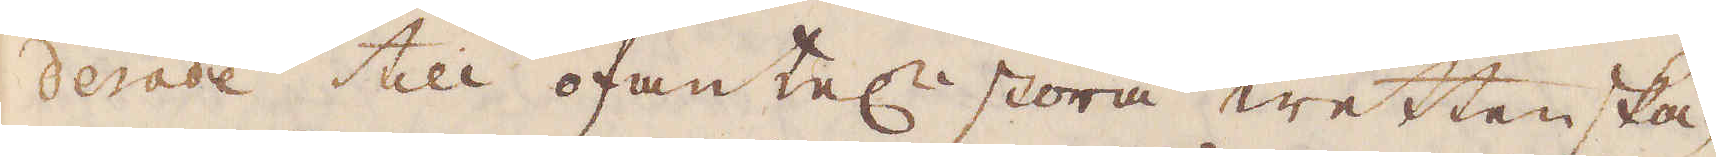derade till ofantel:n stora wettenska-
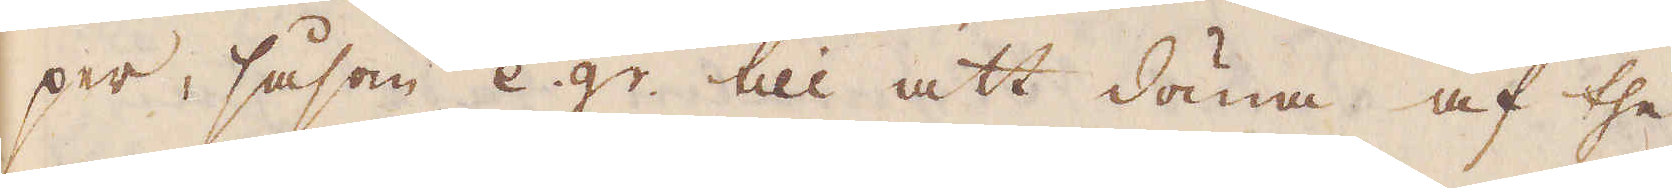per, såsom e.gr till att döma af the
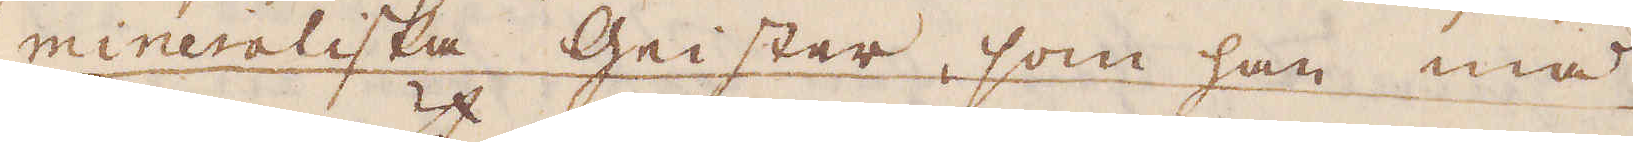mineraliska Geister, som han må
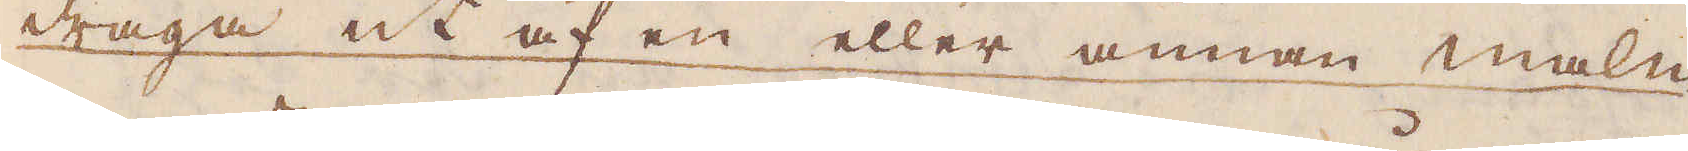draga ut af en eller annan malm
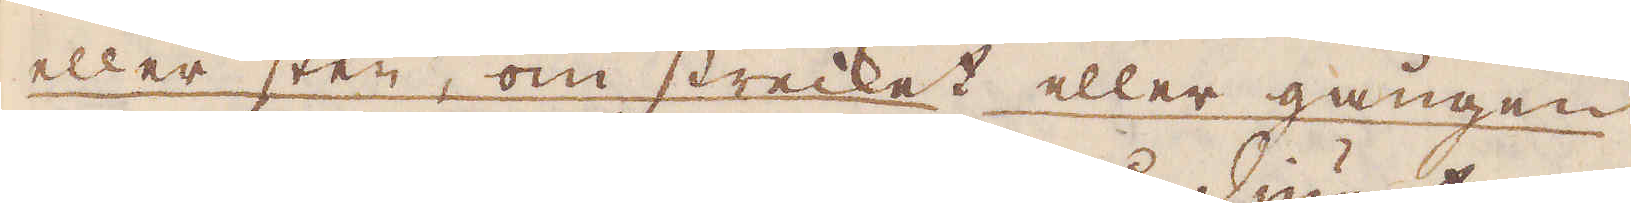eller sten, om strecket eller gången
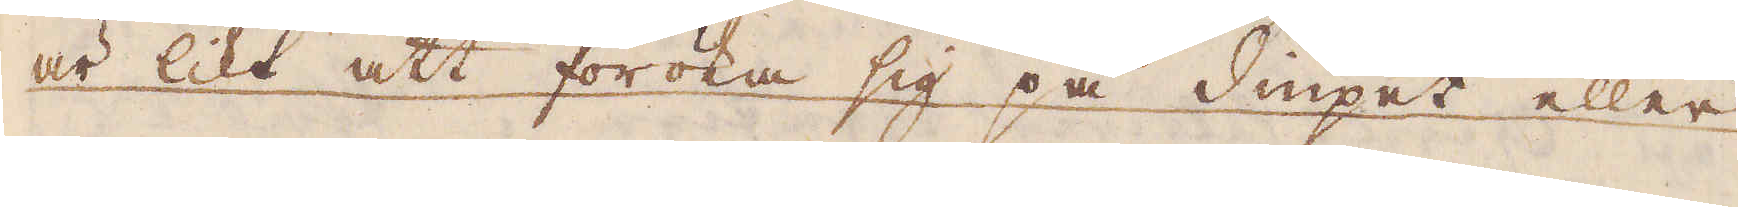är likt att föröka sig på diupet eller
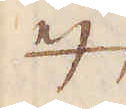ej;
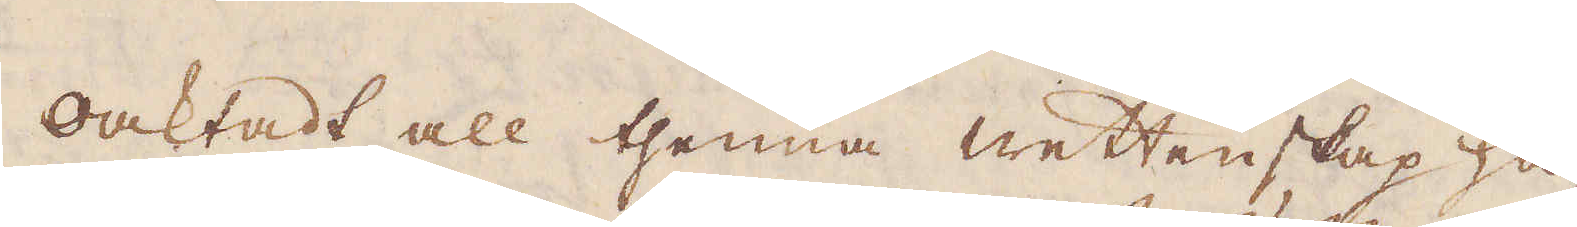oaktadt all thenna wettenskap ha-
